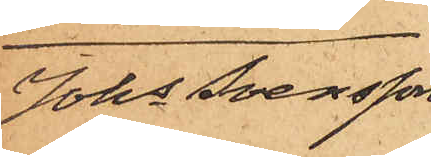Johs Svensson
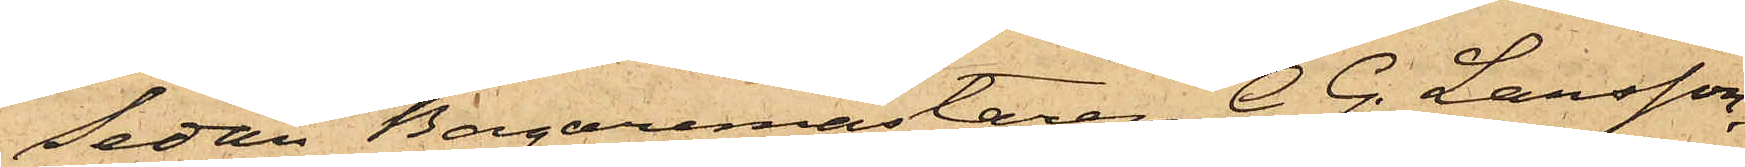Sedan Bagaremästaren C. G. Larsson,
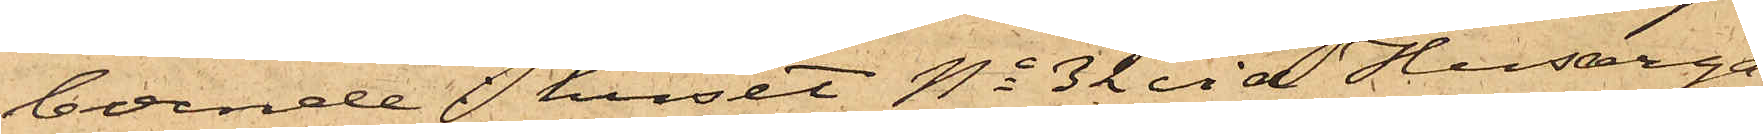boende i huset No 32 vid Husarga¬
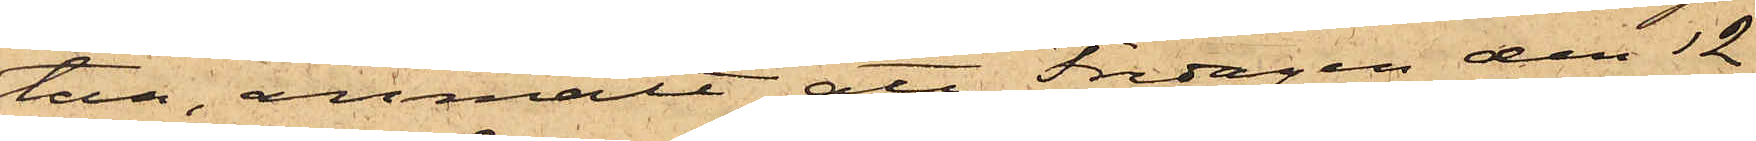tan, anmält att Fredagen den 12
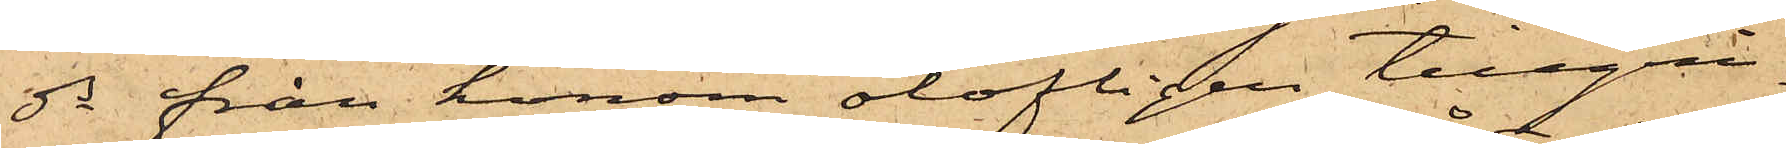ds från honom olofligen tillgri¬
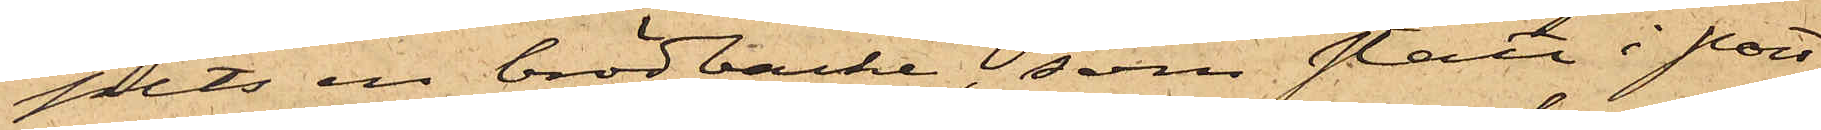pits en brödbacke, som stått i port¬
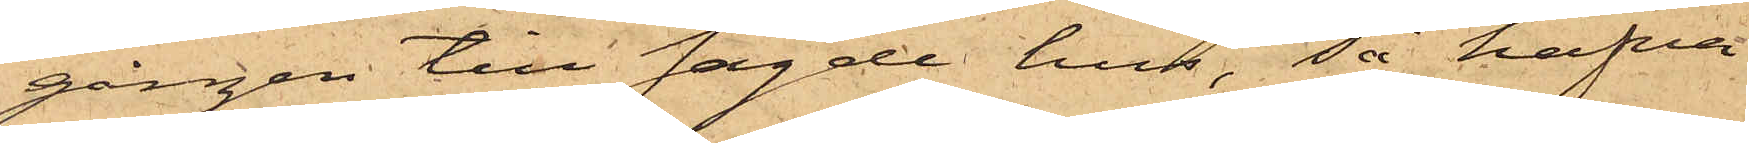gången till sagde hus, så hafva
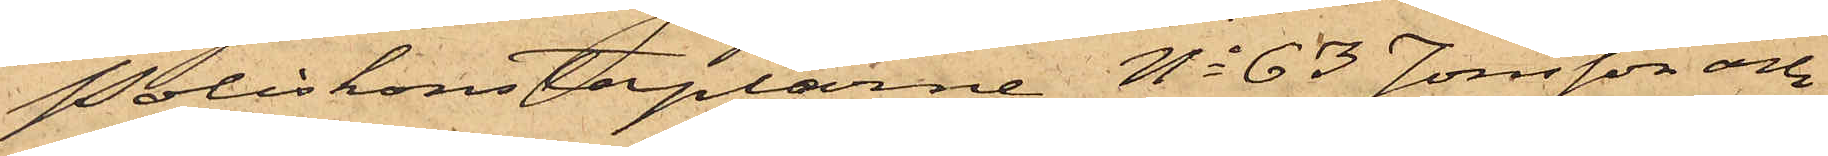Poliskonstaplarne No 63 Jonsson och
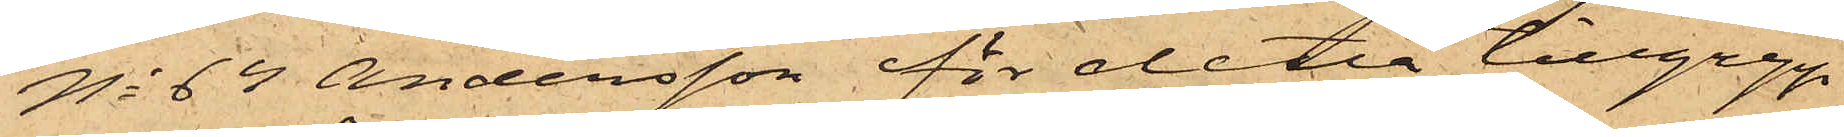No 64 Andersson för detta tillgrepp
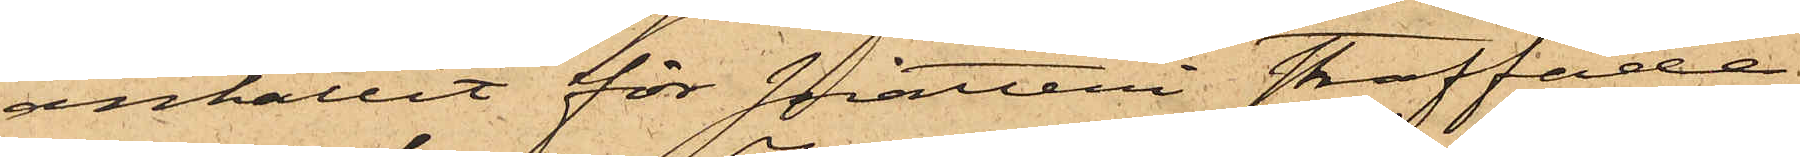anhållit för snatteri straffade
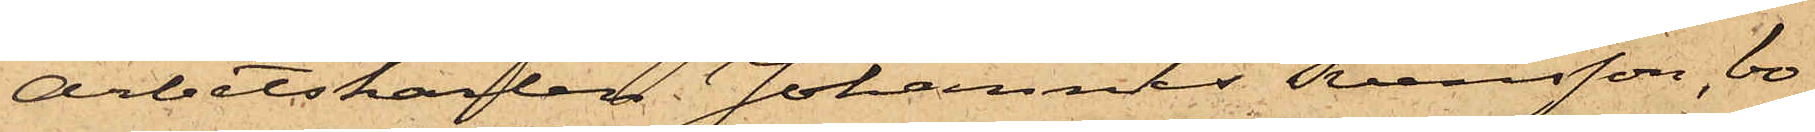Arbetskarlen Johannes Svensson, bo¬
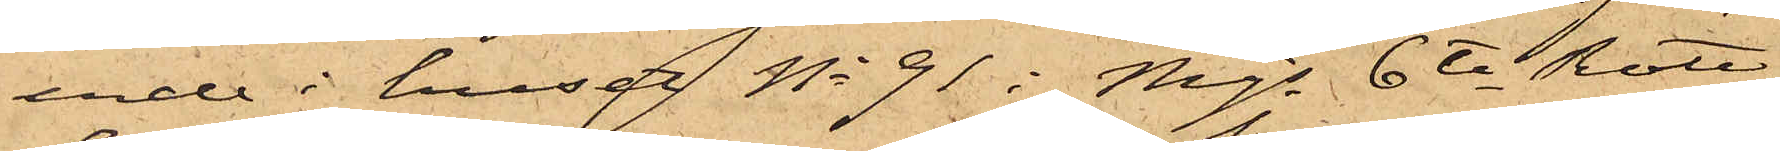ende i huset No 91 i Mjs 6te Rote,
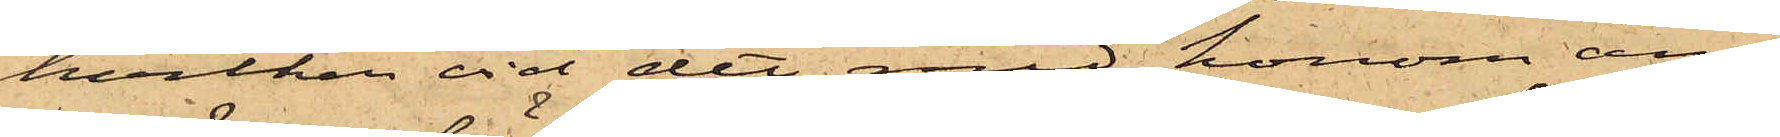hvilken vid det med honom an¬
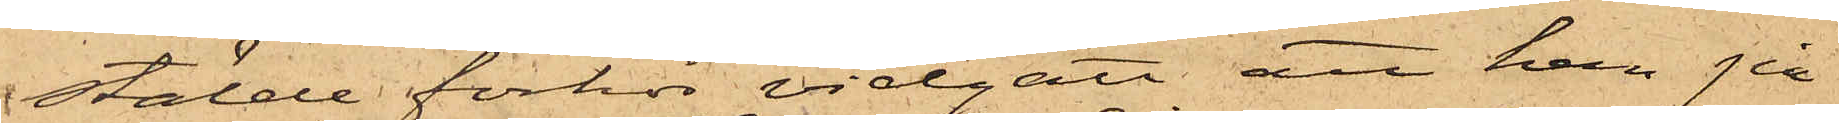stälde förhör vidgått att han på
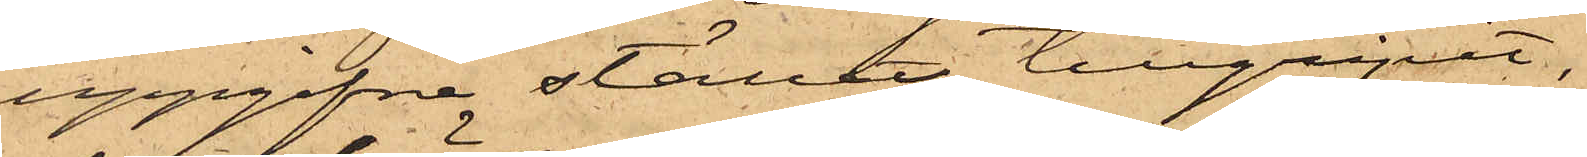uppgifna stället tillgripit,
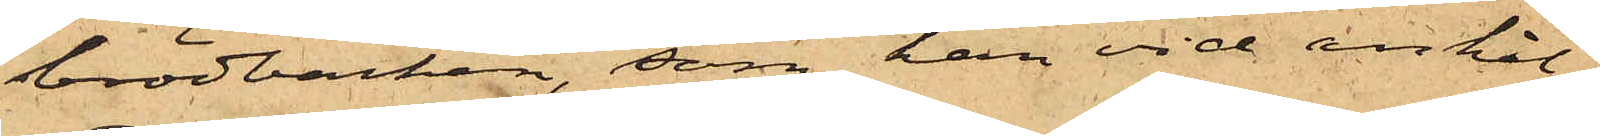brödbacken, som han vid anhål¬
